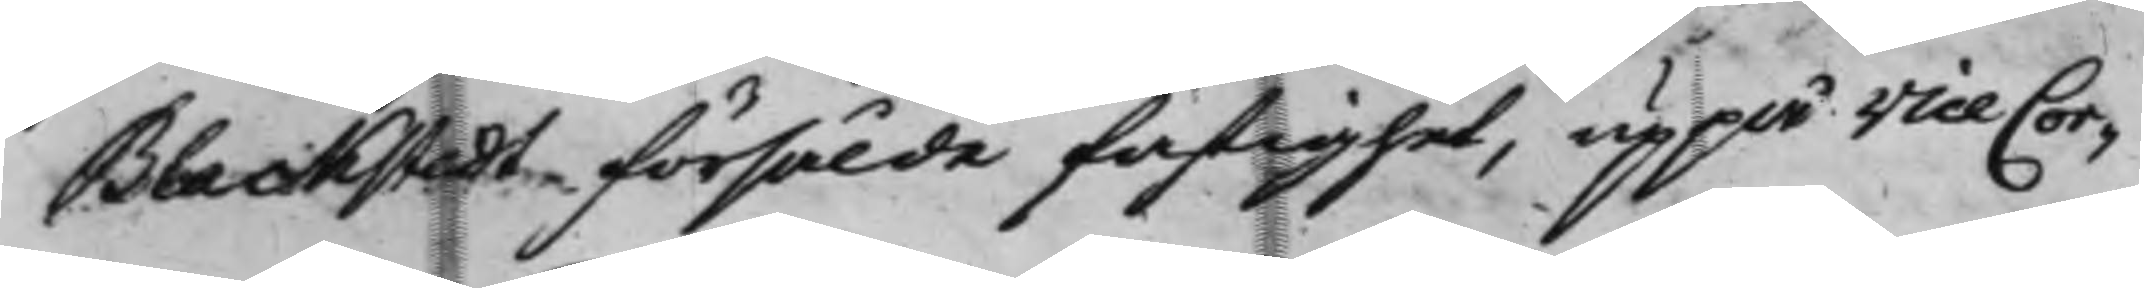Blackstedt försålde fastighet, uppå Vice Cor¬
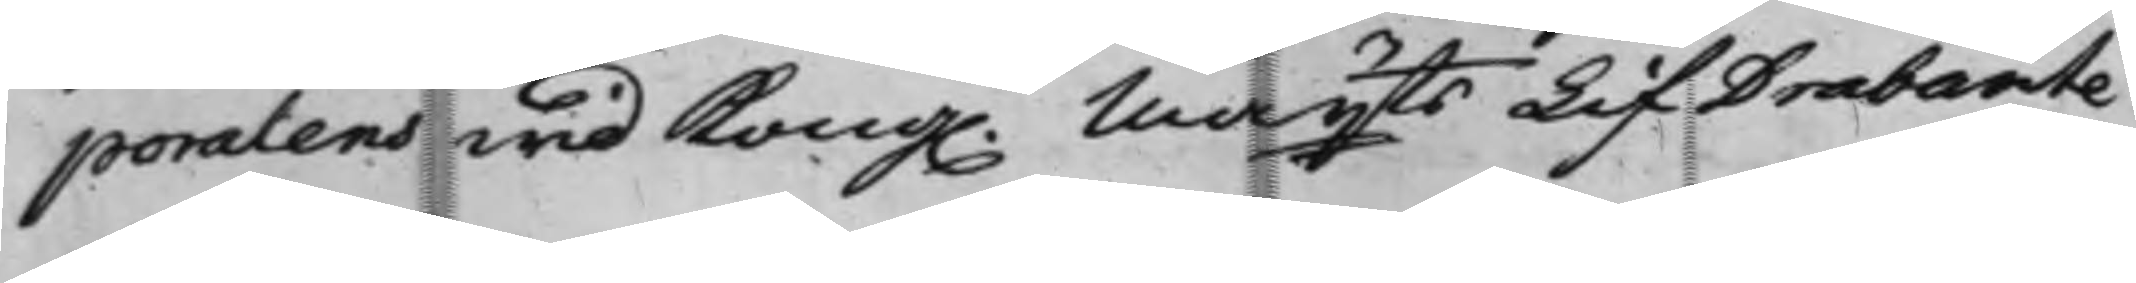poralens wid Kong. Mayts LifDrabante¬
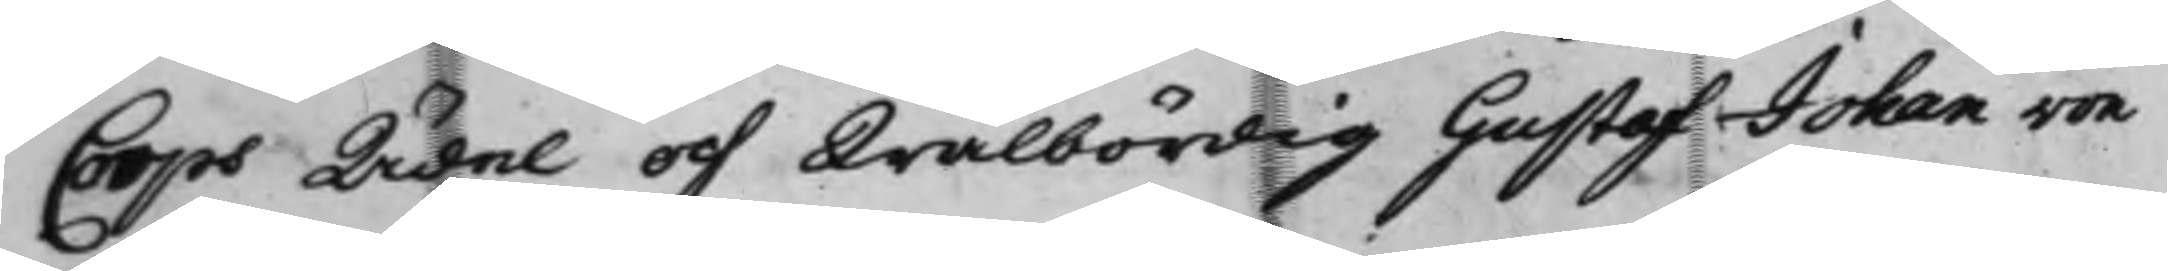Corps Ädel och Wälbördig Gustaf Johan von
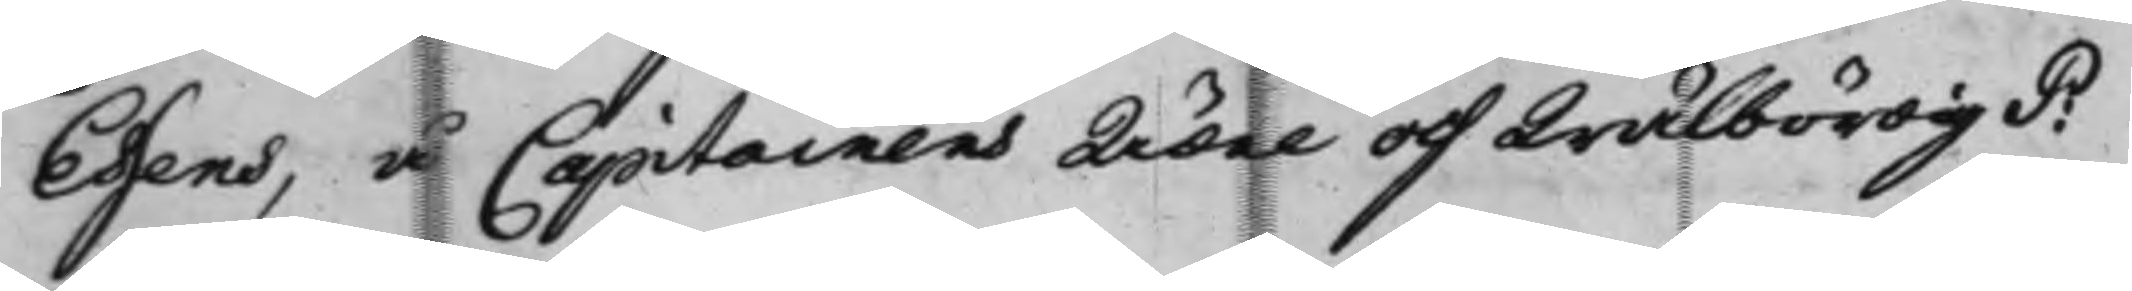Essens, å Capitainens Ädel och Wälbördig P:
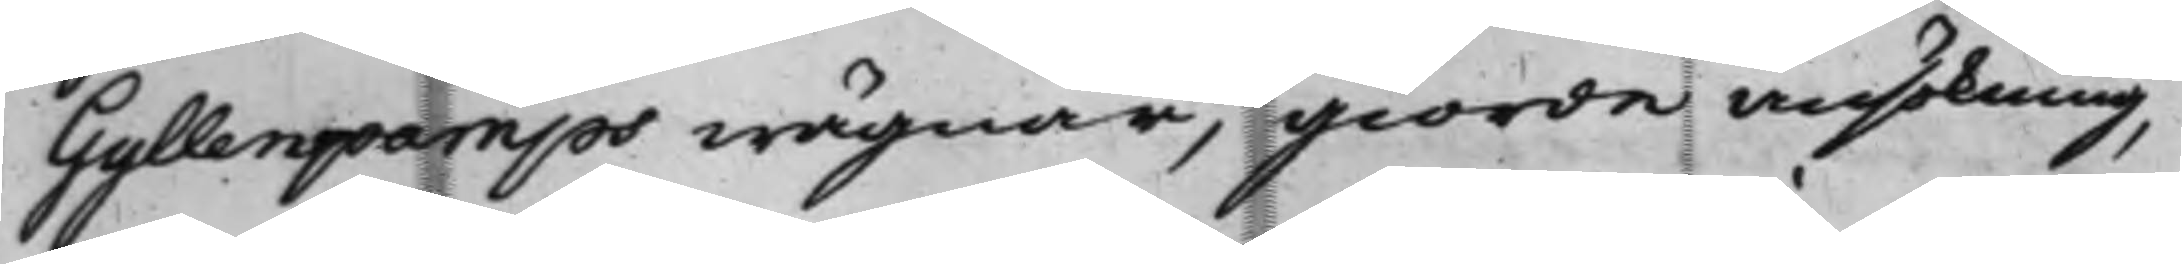Gyllenpamps wägnar, giorde ansökning,
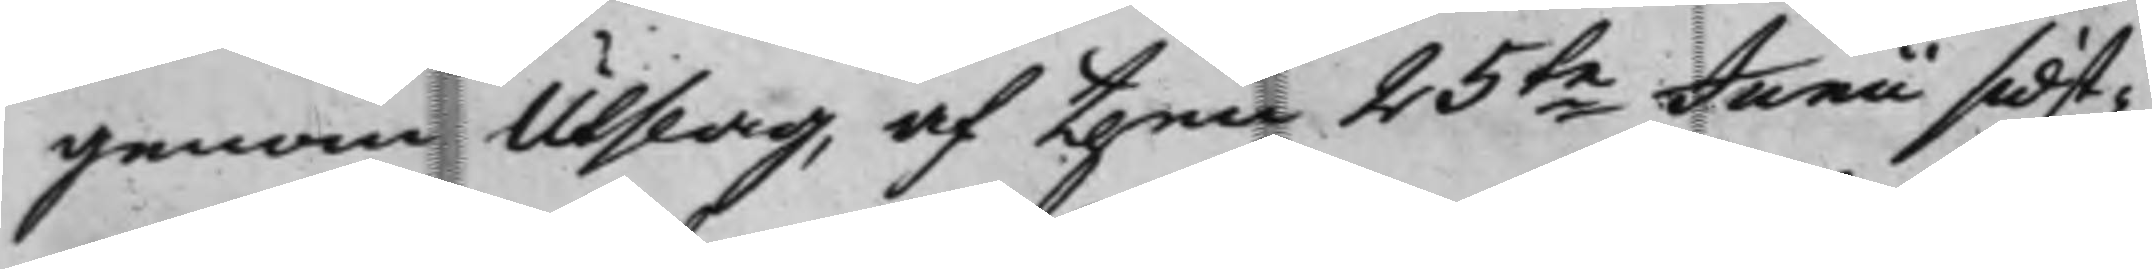genom Utslag, af then 25te Junii sidst¬
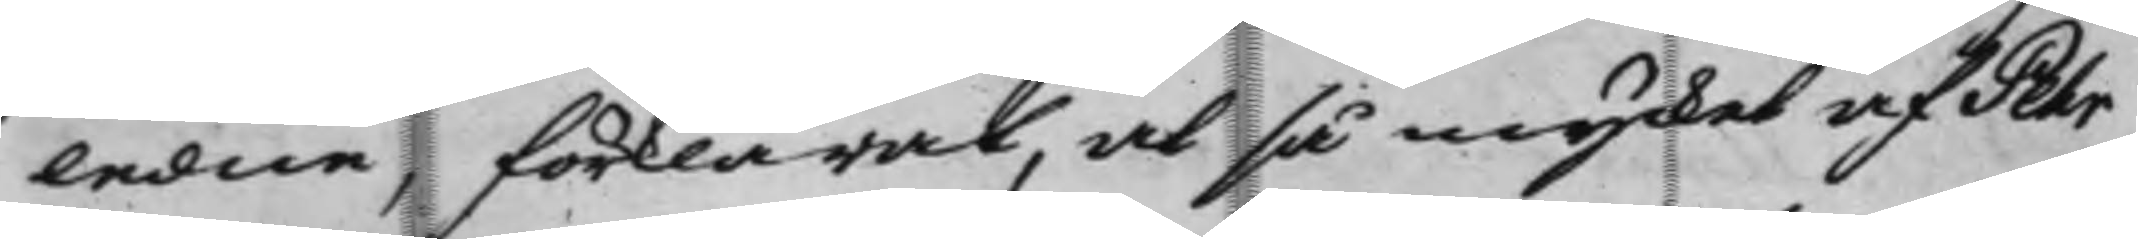ledne, förklarat, at så mycket af Pehr
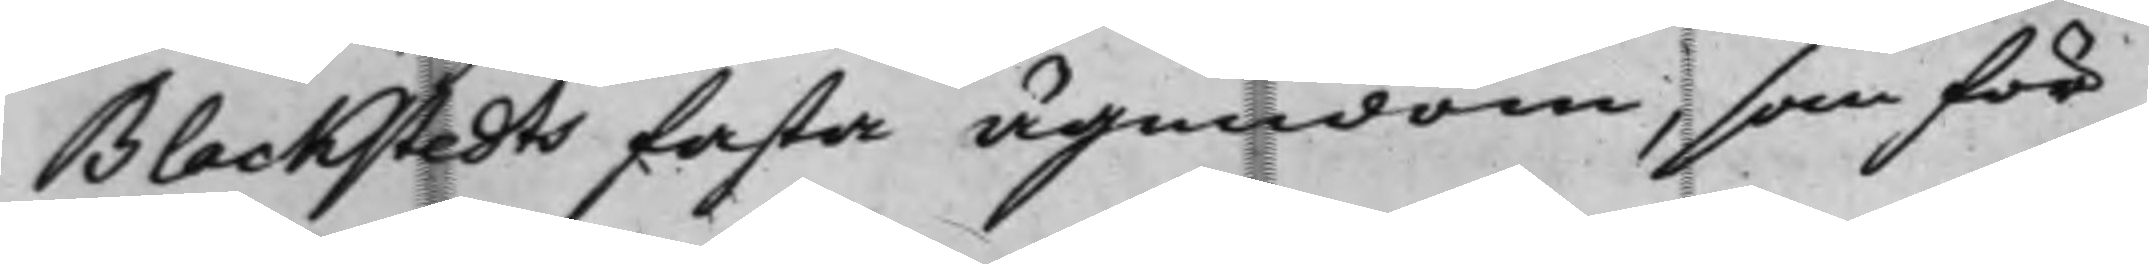Blackstedts fasta ägendom, som för
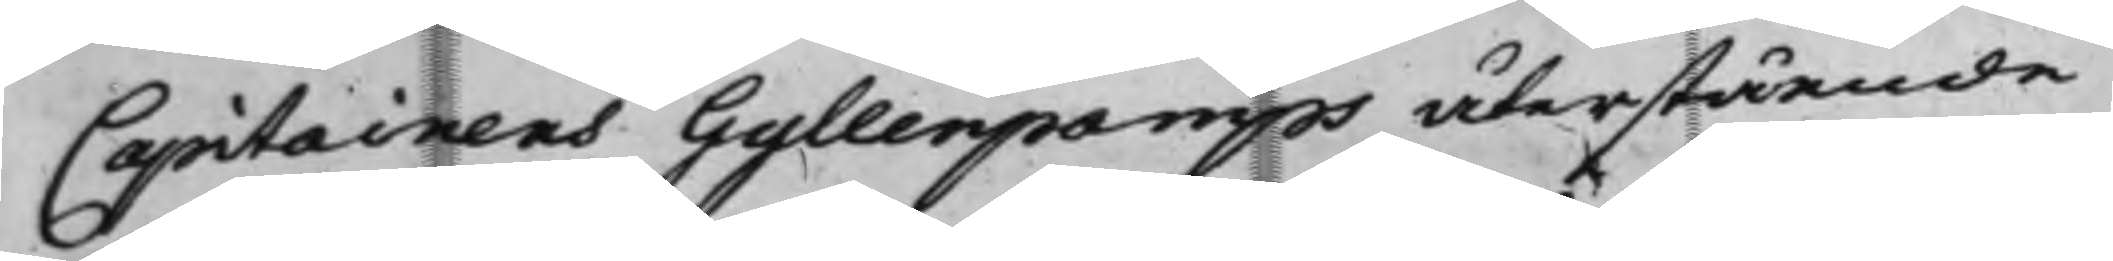Capitainens Gyllenpamps återstående
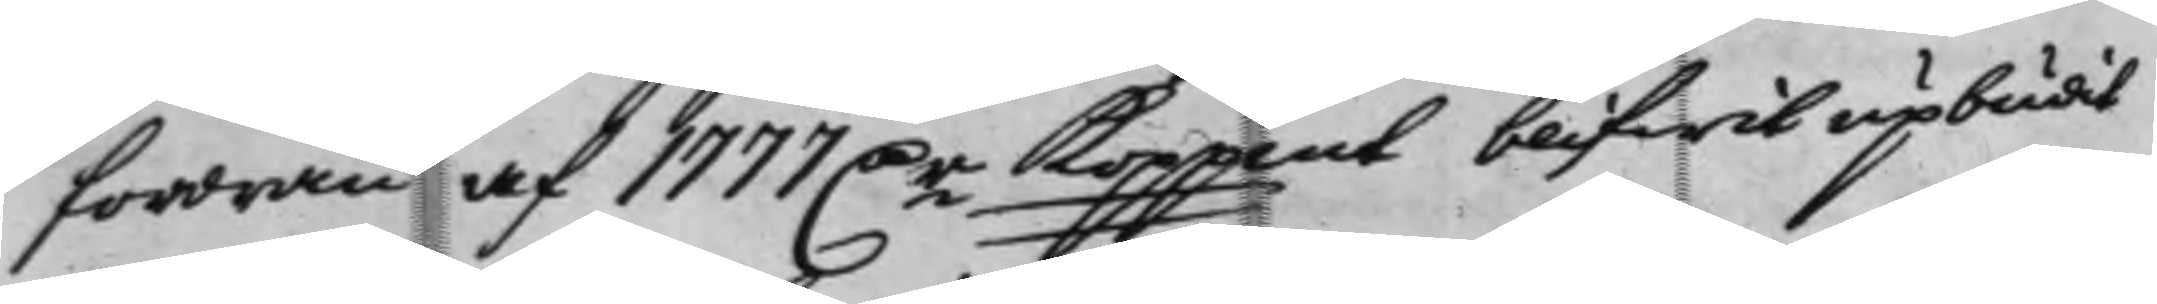fordran af 1777 D.r Koppmt blifwit upbudit
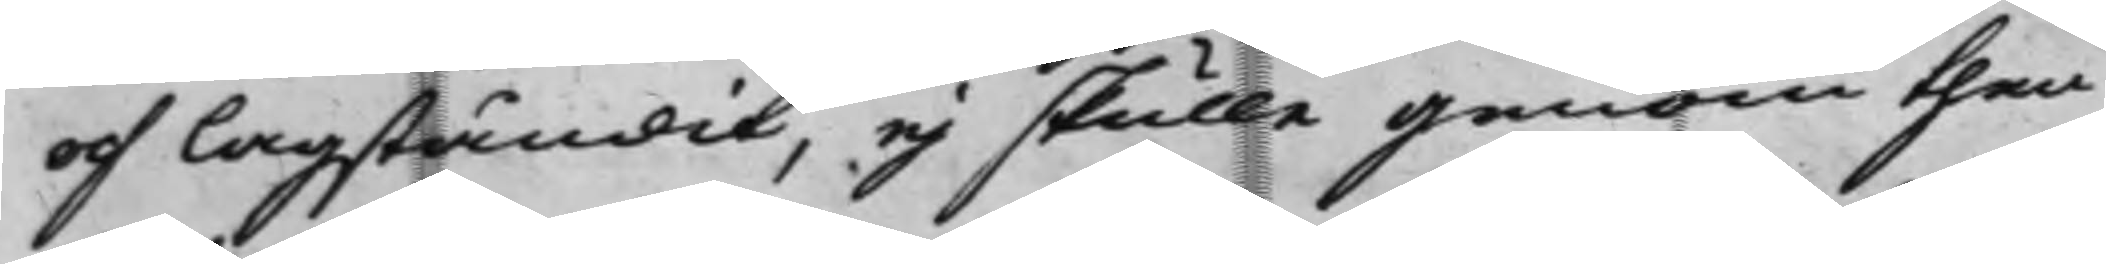och Lagståndit, ej skulle genom then
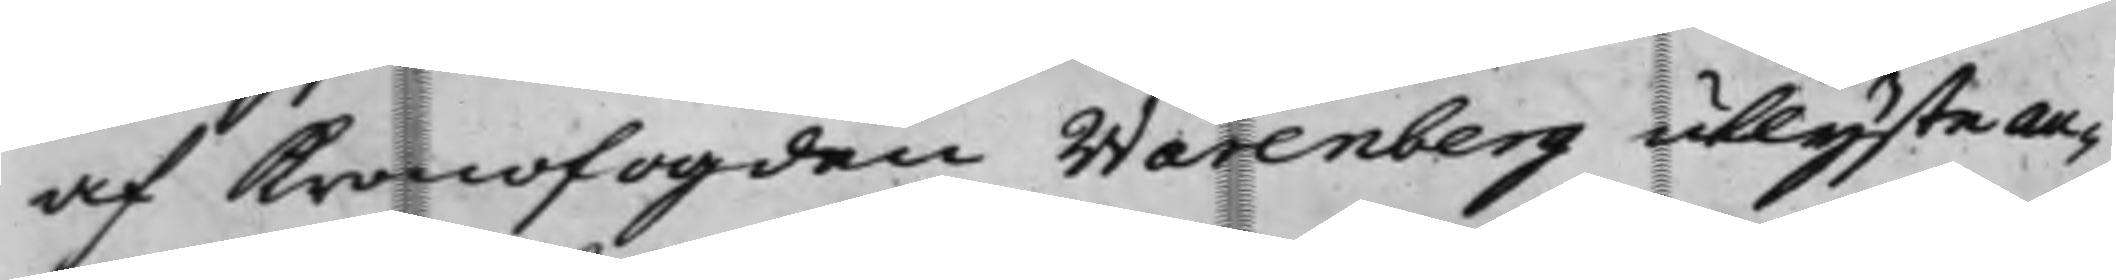af Kronofogden Warenberg utlyste au¬
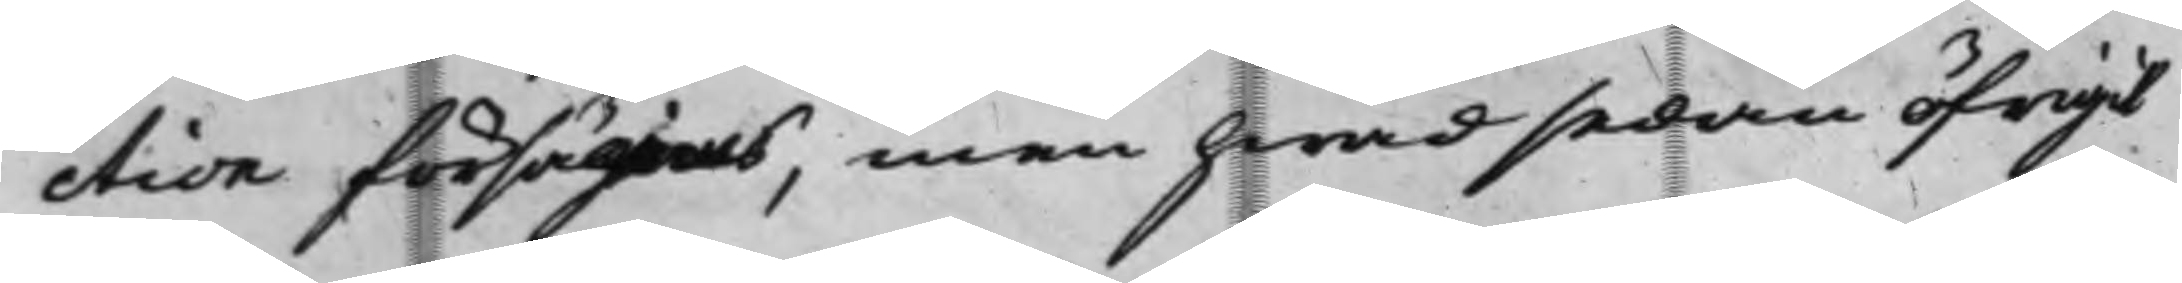ction försäljas, men hwad sedan öfrigit
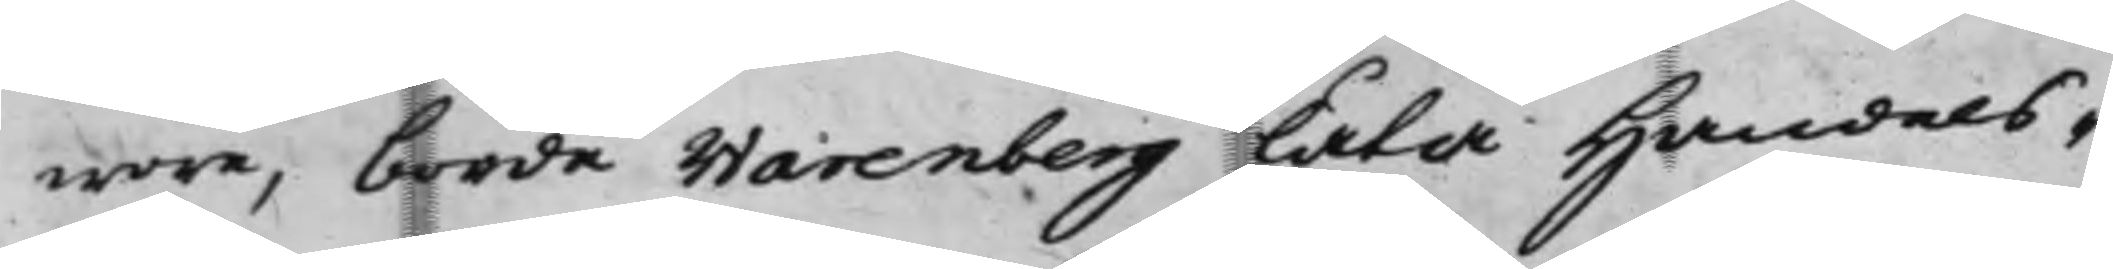wore, borde Warenberg Låta Handels¬
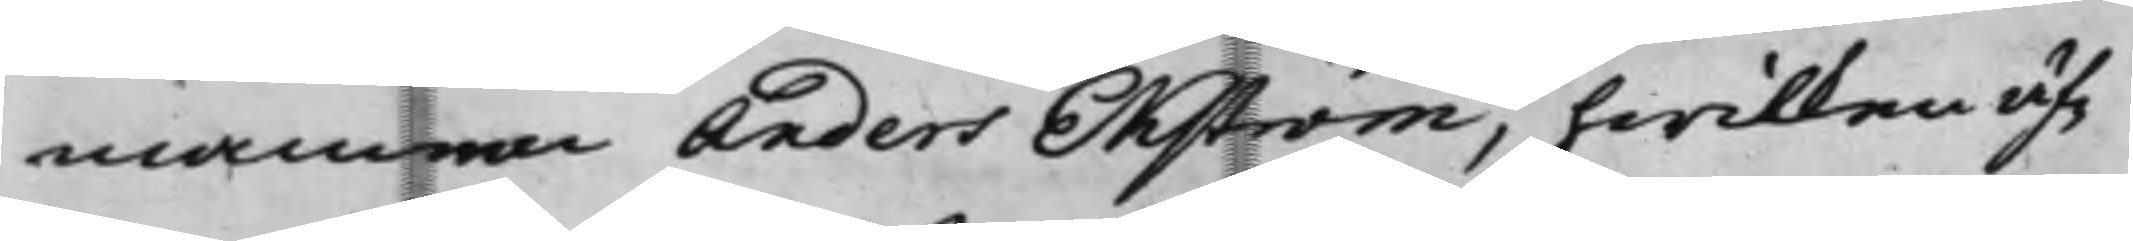mannen Anders Ekström, hwilken äf¬
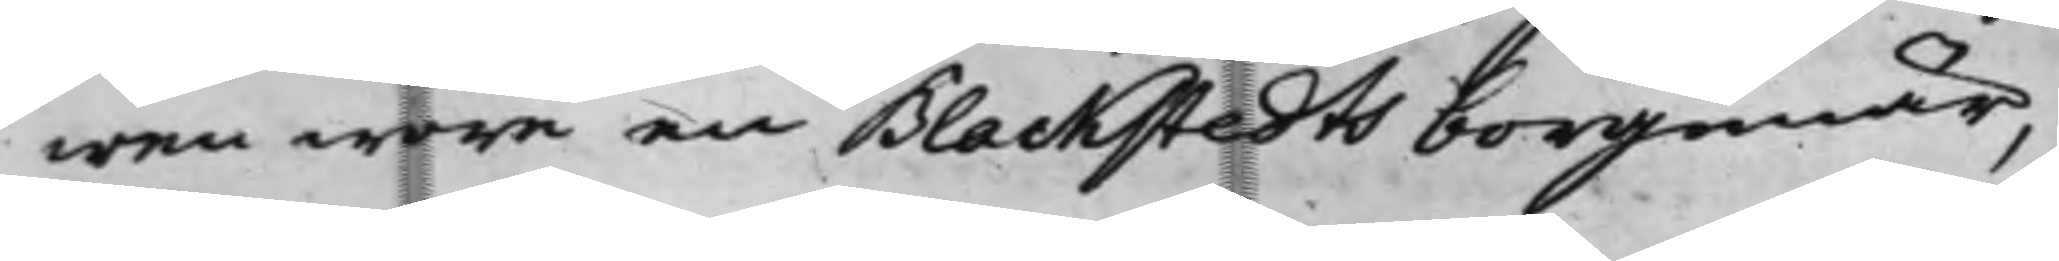wen wore en Blackstedts borgenär,
